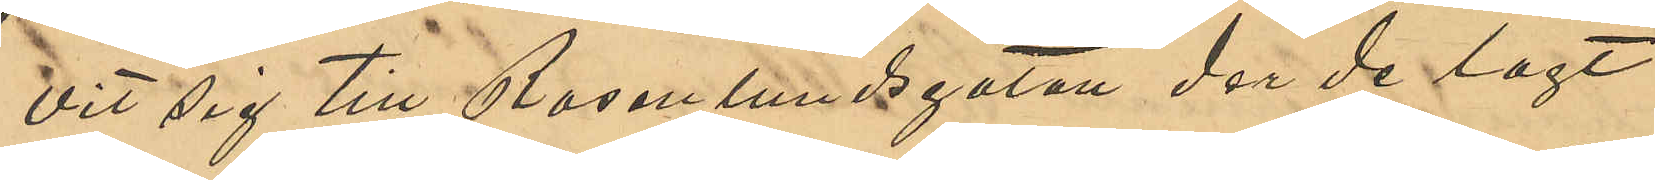vit sig till Rosenlundsgatan der de lagt
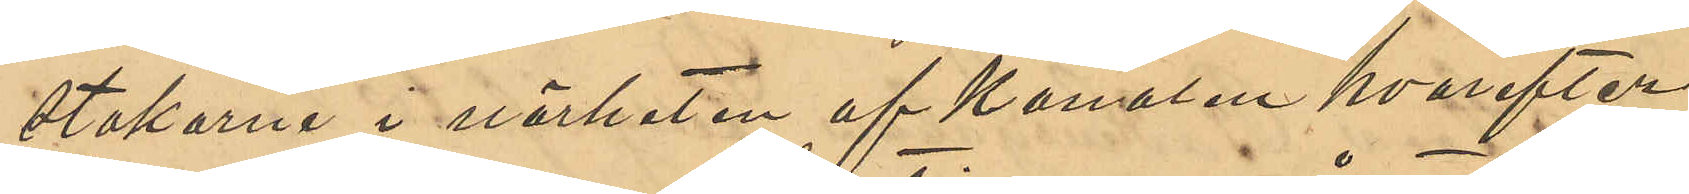stakarna i närheten af kanalen hvarefter
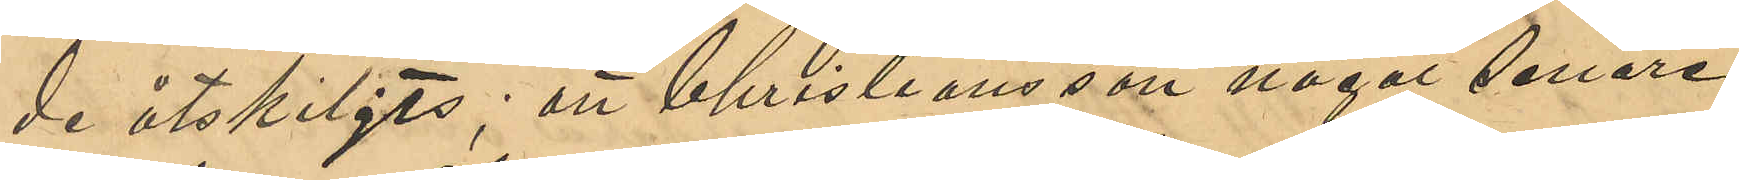de åtskiljts; att Christiansson något senare
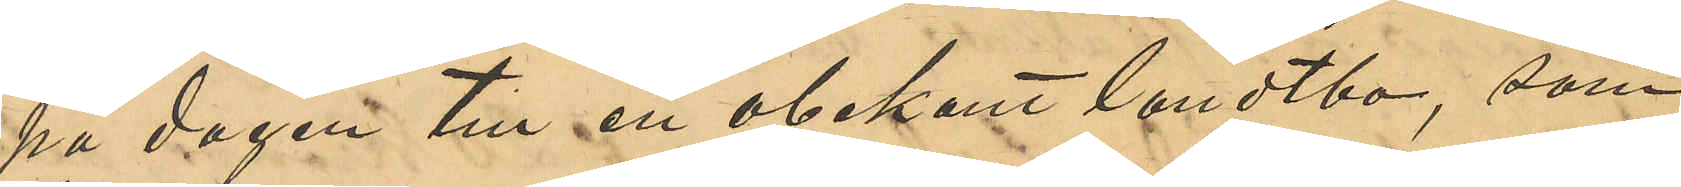på dagen till en obekant landtbo, som
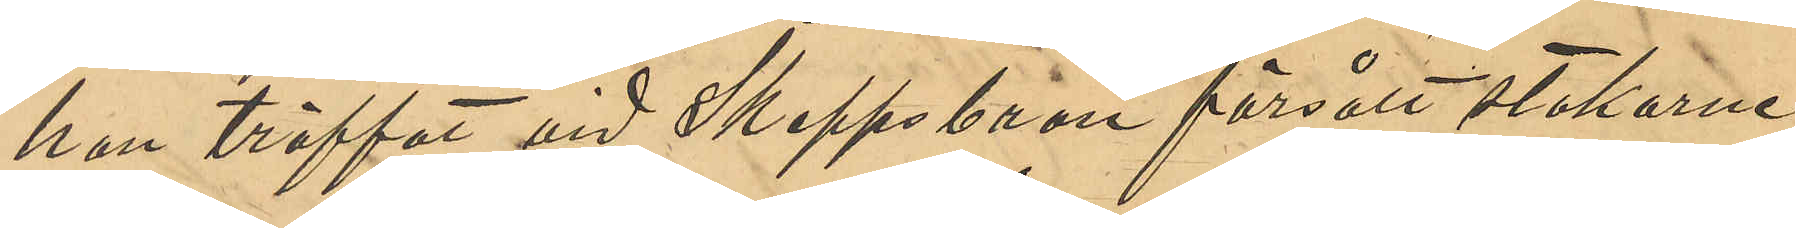han träffat vid Skeppsbron försålt stakarne
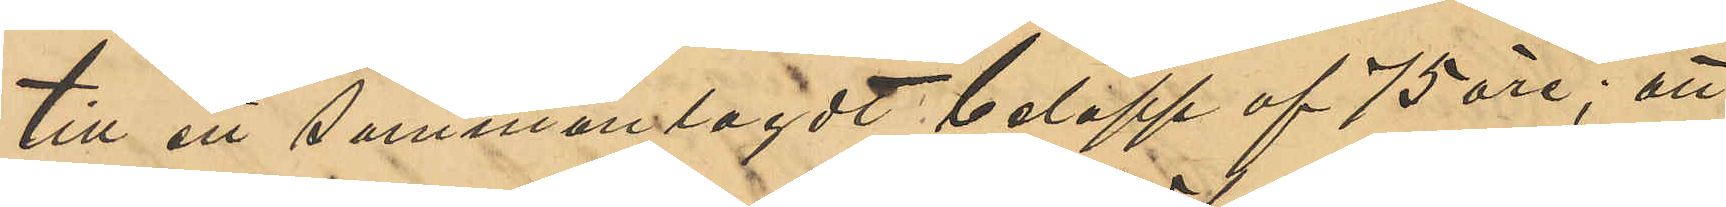till ett sammanlagdt belopp af 75 öre; att
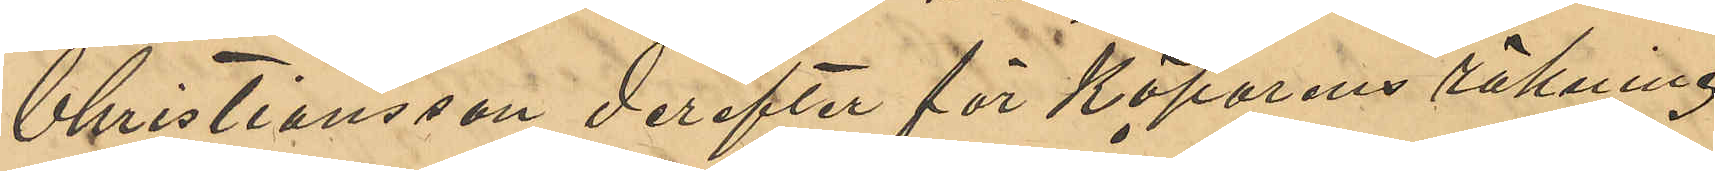Christiansson derefter för Köparens räkning
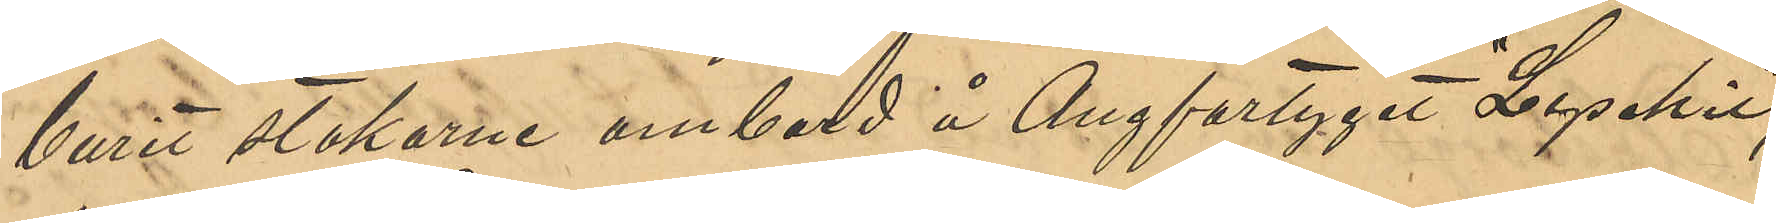burit stakarne ombord å Ångfartyget "Lysekil";
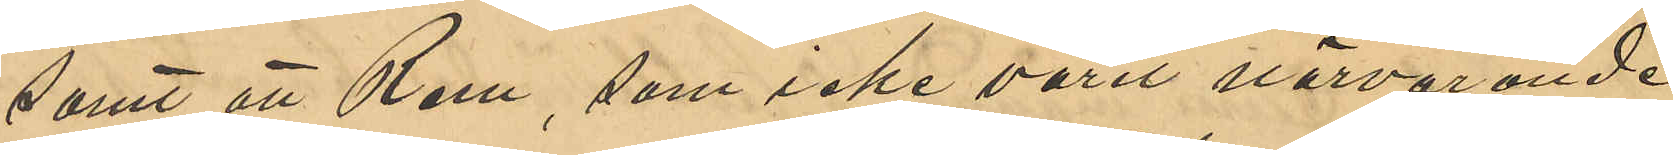samt att Rem, som icke varit närvarande
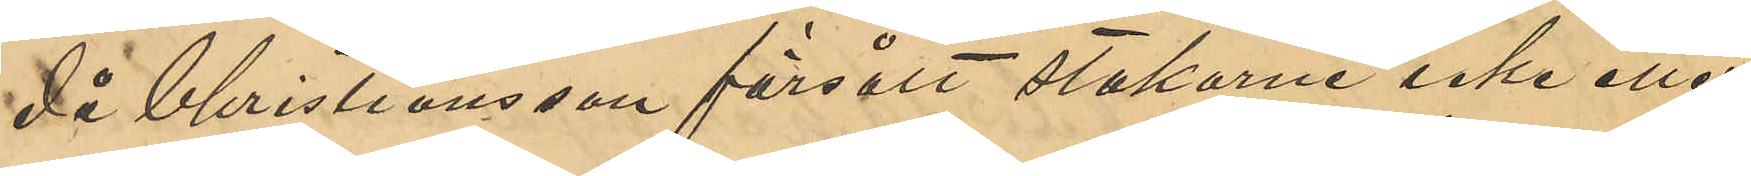då Christiansson försålt stakarne icke eller
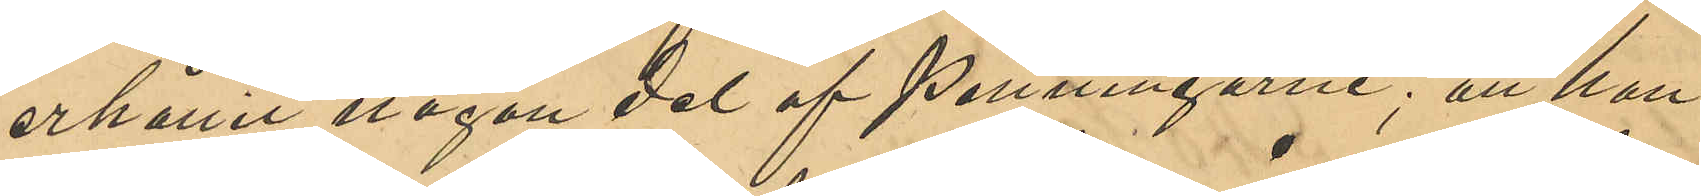erhållit någon del af penningarne; att han
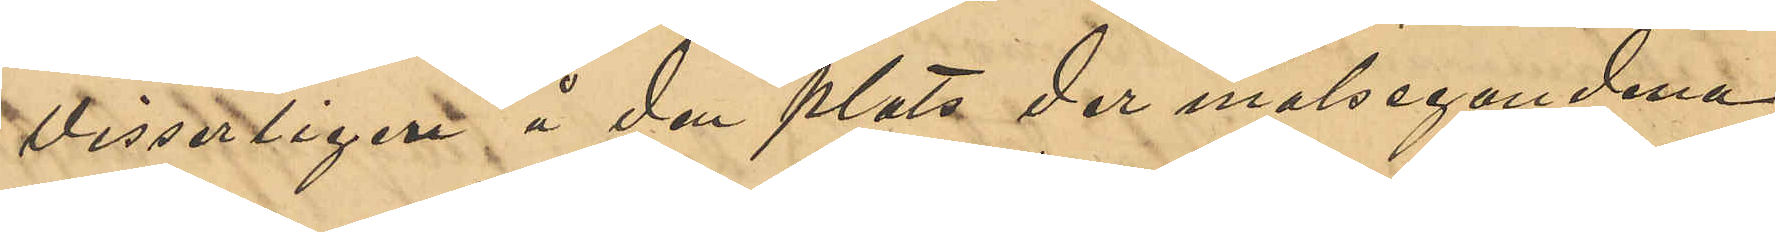visserligen å den plats der målseganderna
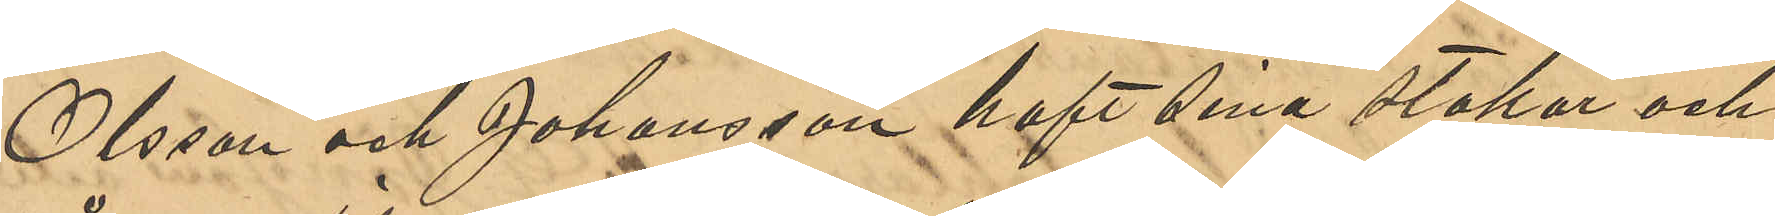Olsson och Johansson haft sina stakar och
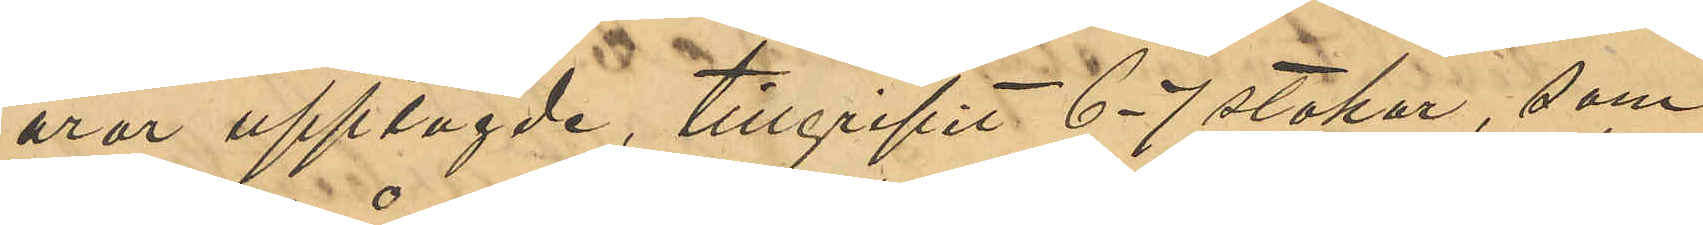åror upplagde, tillgripit 6-7 stakar, som
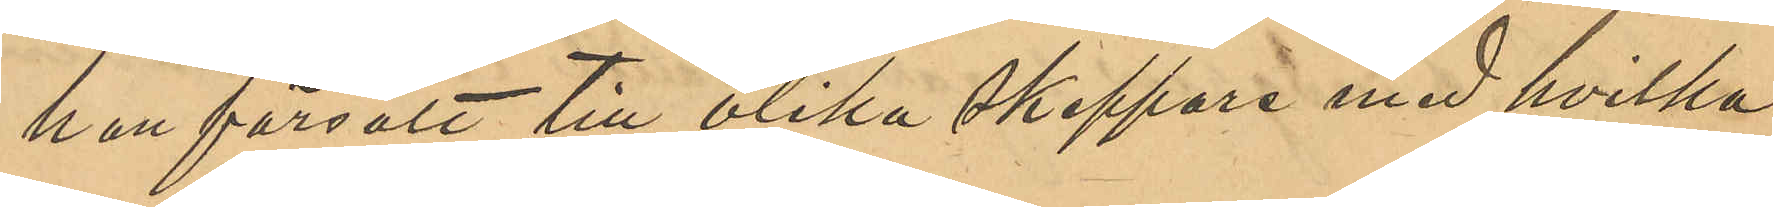han försålt till olika skeppare med hvilka
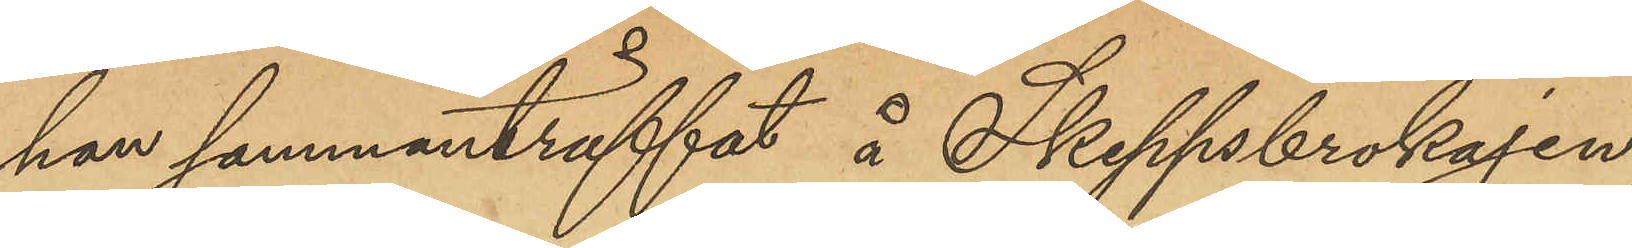han sammanträffat å Skeppsbrokajen,
